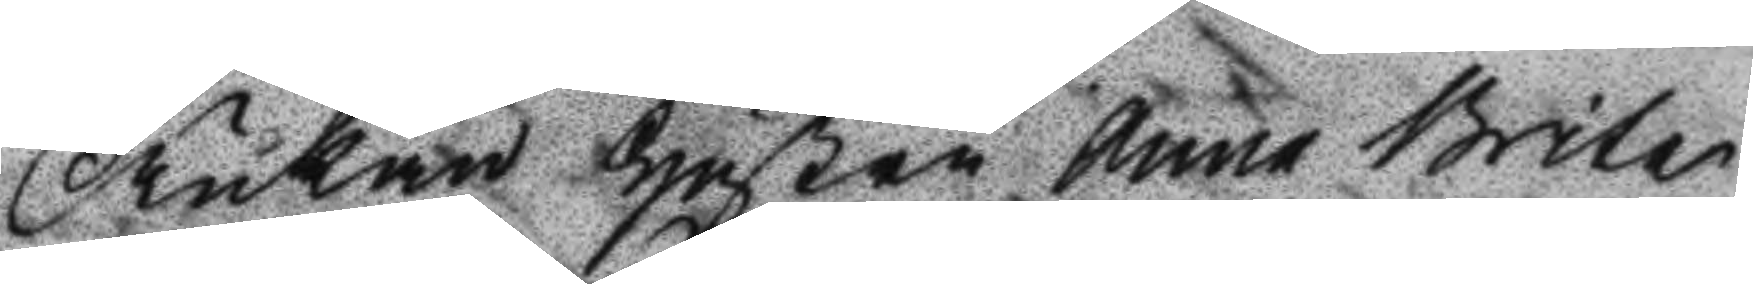Änkan Hustru Anna Brita
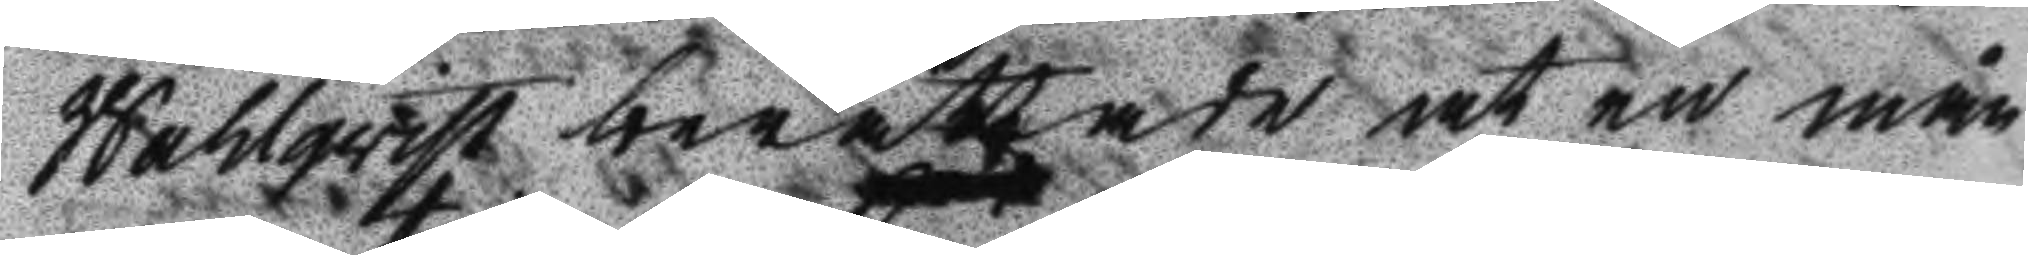Wahlqvist berättade at en mån¬
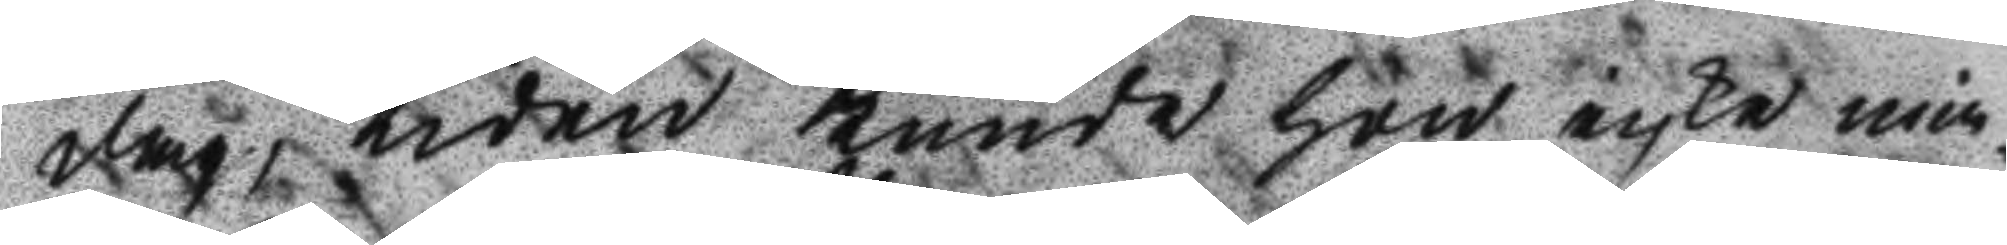dag, tiden kunde hon icke min¬
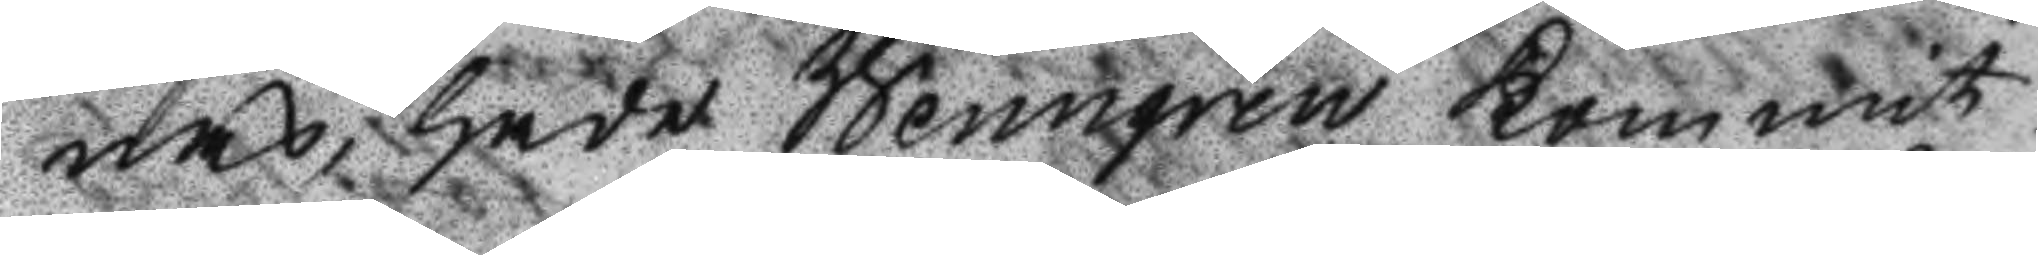nas, hade Wenngren kommit
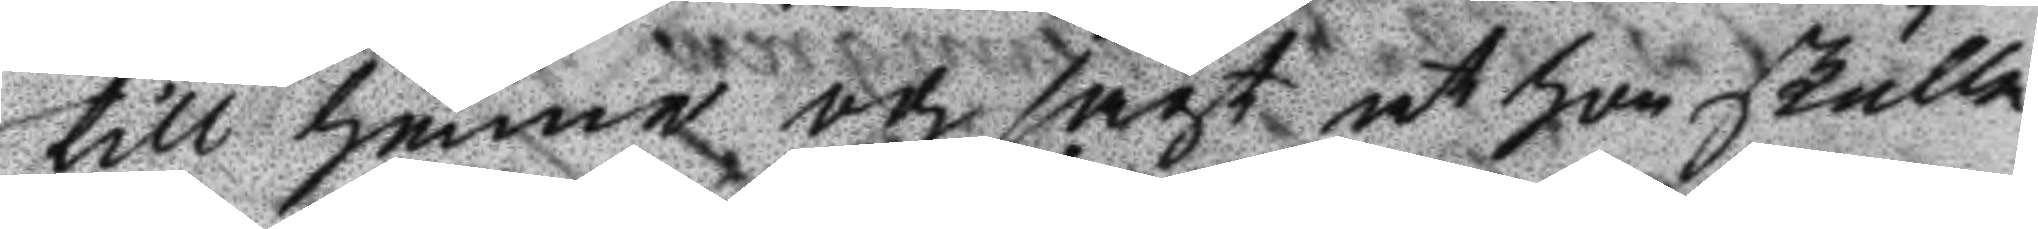till henne och sagt at hon skulle
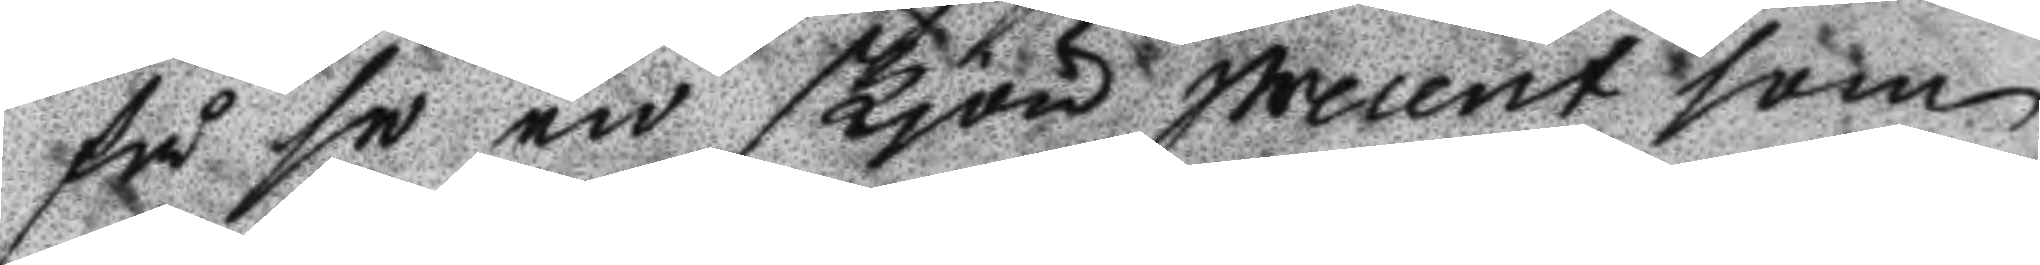få se en skjön precent som
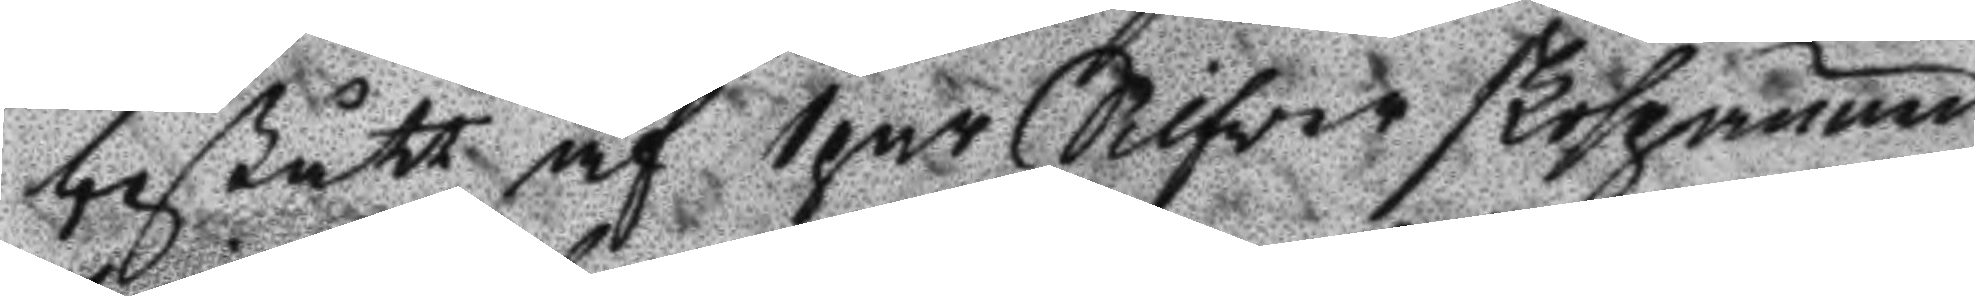bestått af 1 par Silfver skospännen
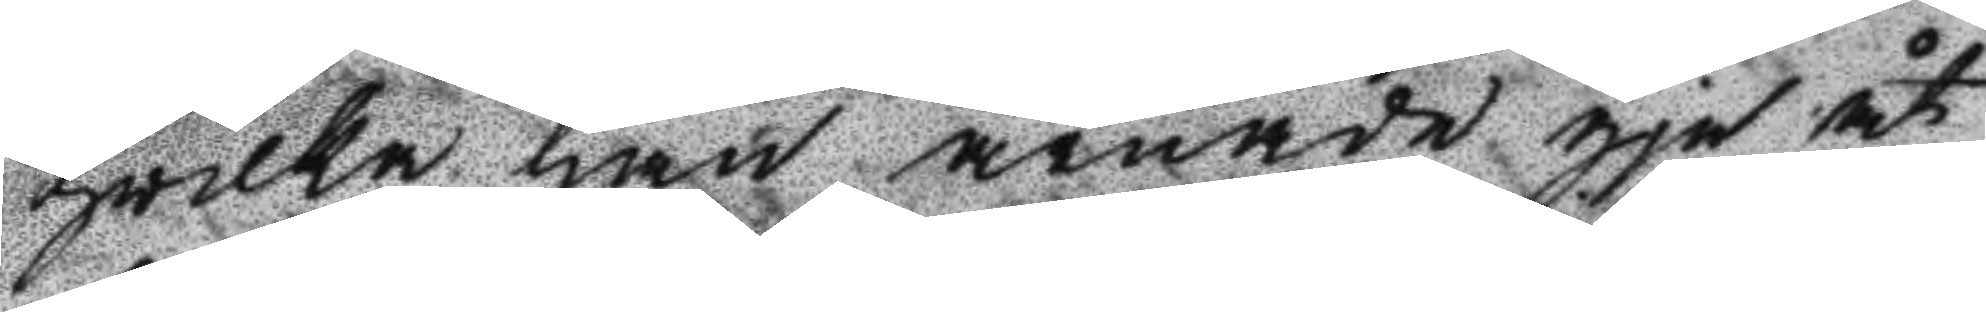hvilka han ärnade gje åt
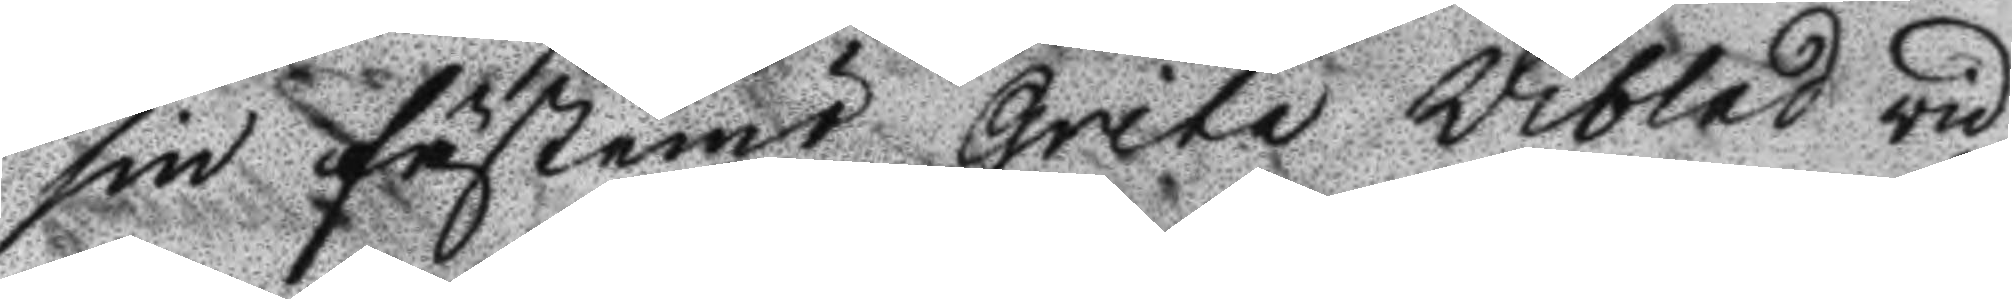sin fästemö Greta Wiblad vid
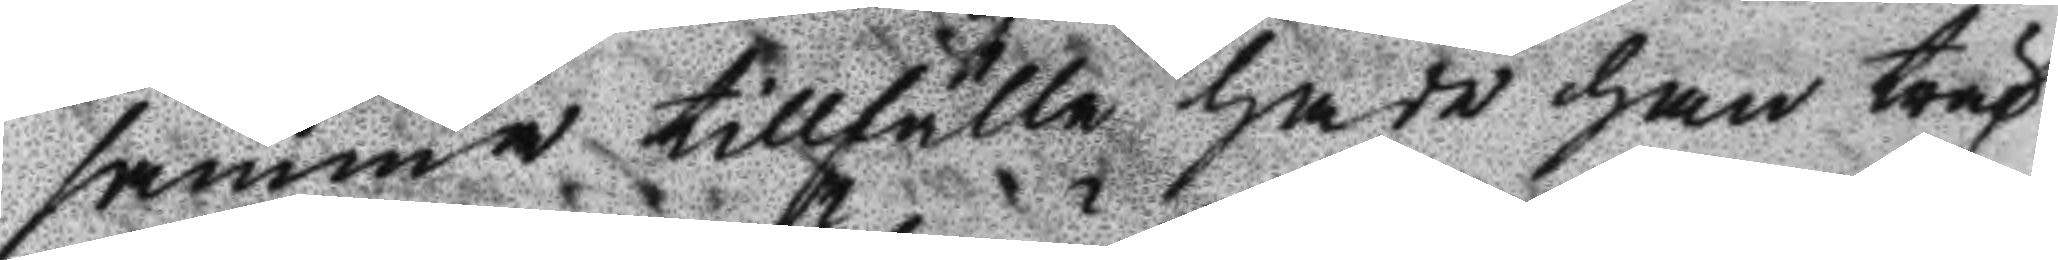samma tillfälle hade han träf¬
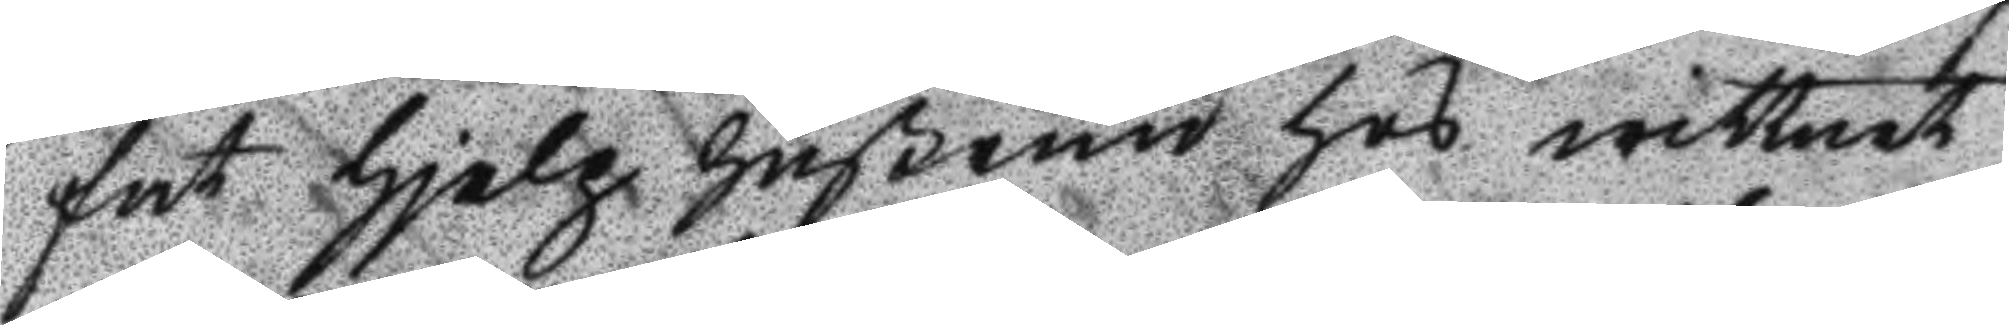fat hjelp hußrum hos wittnet
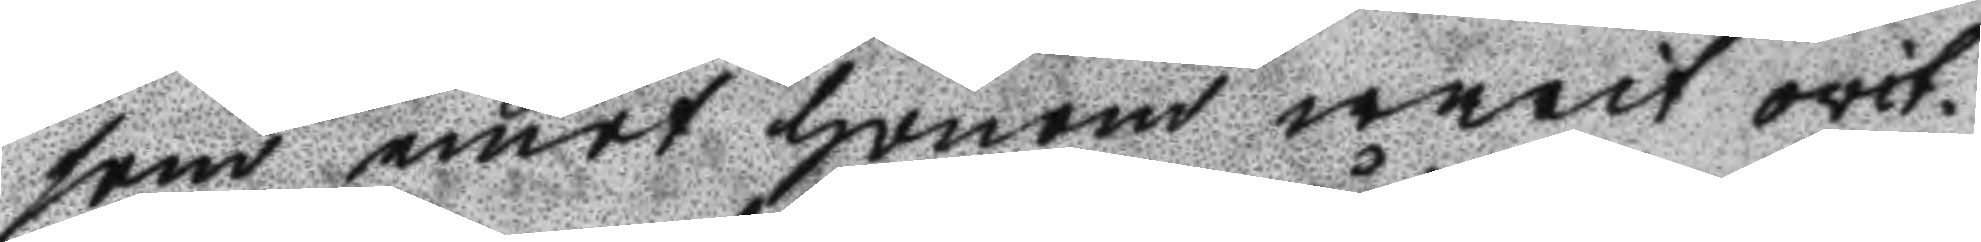som emot honom warit ovit¬
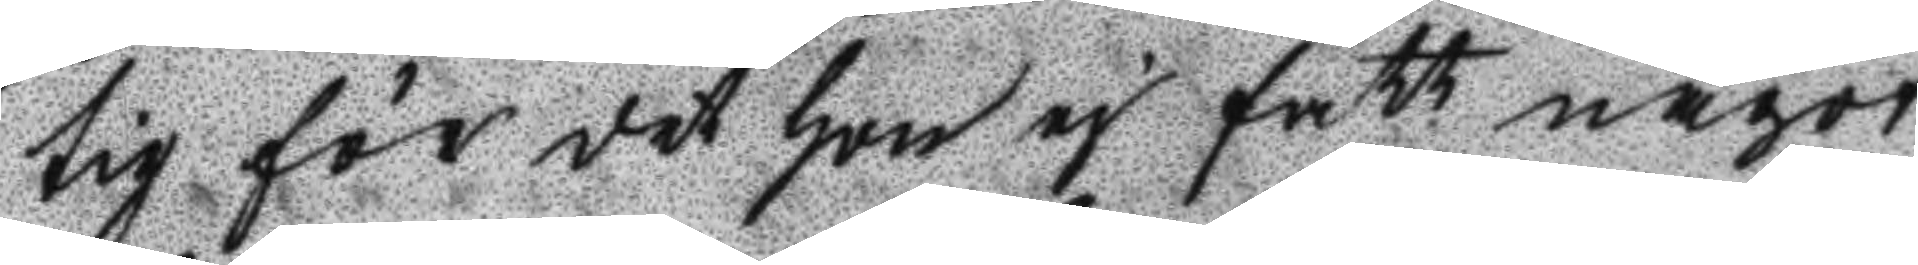tig för det hon ej fått något
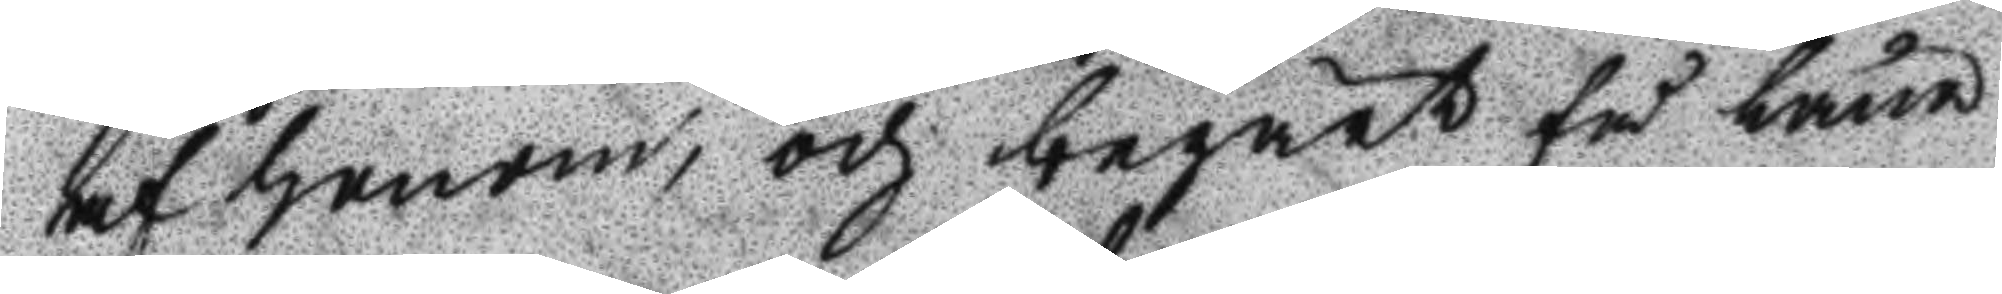af honom, och begärt få låna
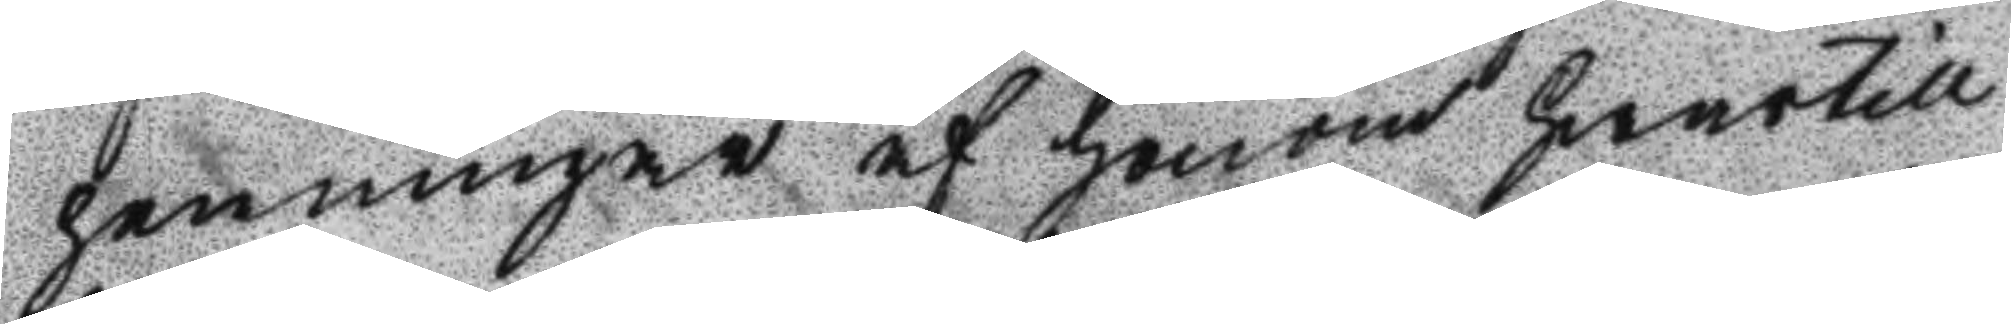penningar af honom hwartill
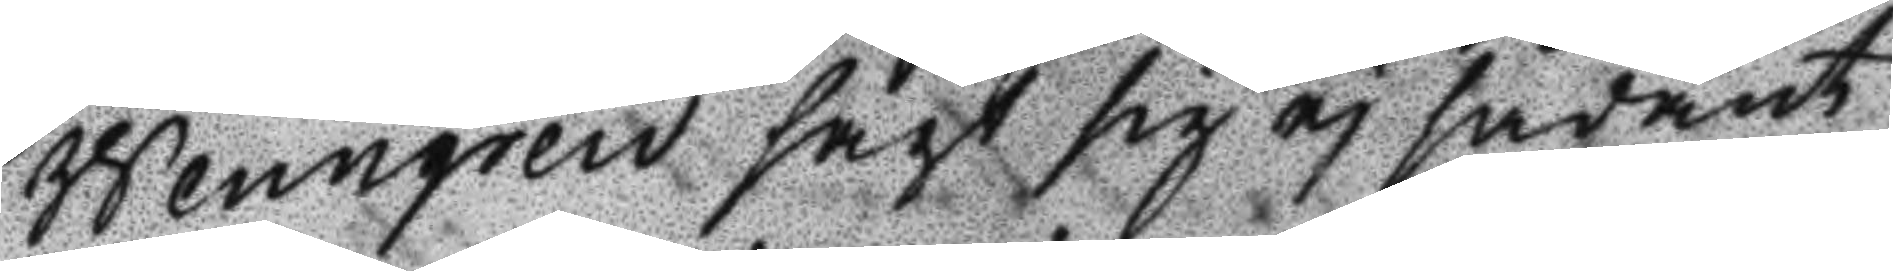Wennergren sagt sig ej sådant
